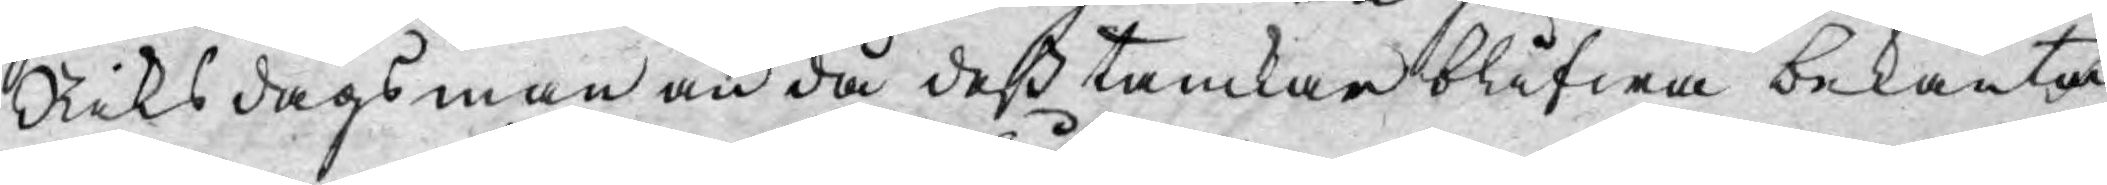Riksdagsman än då dess tankar blifwa bekanta
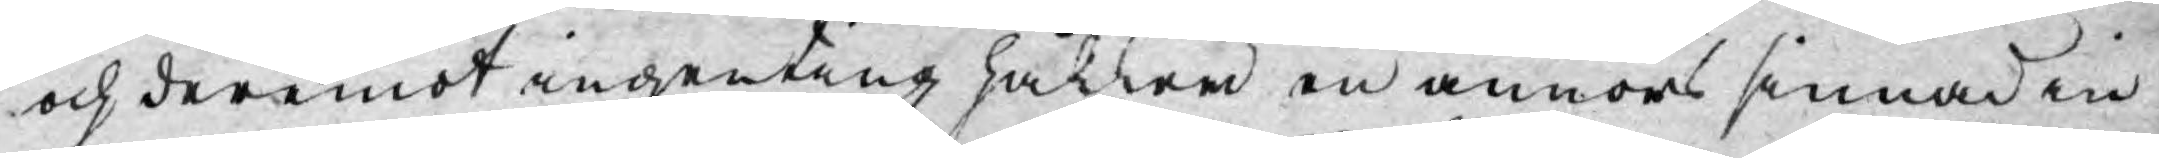och deremot ingenting håller en annors sinnad in¬
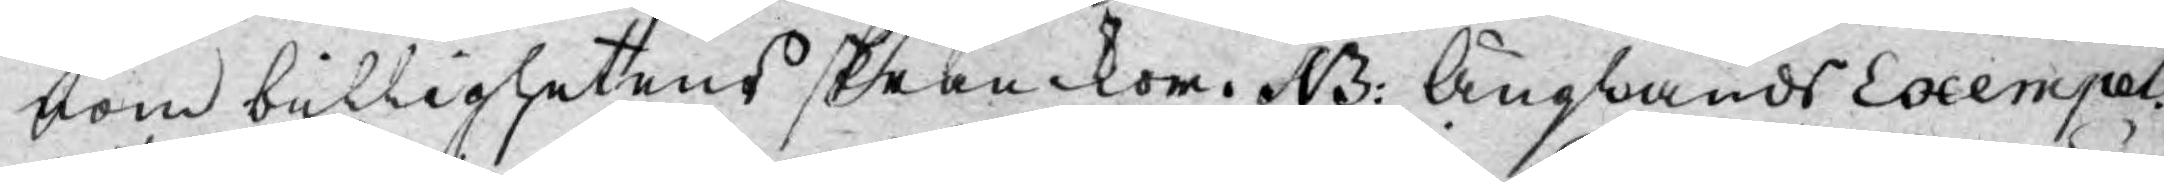nom billighetens skrankor. NB: Änglands Exempel
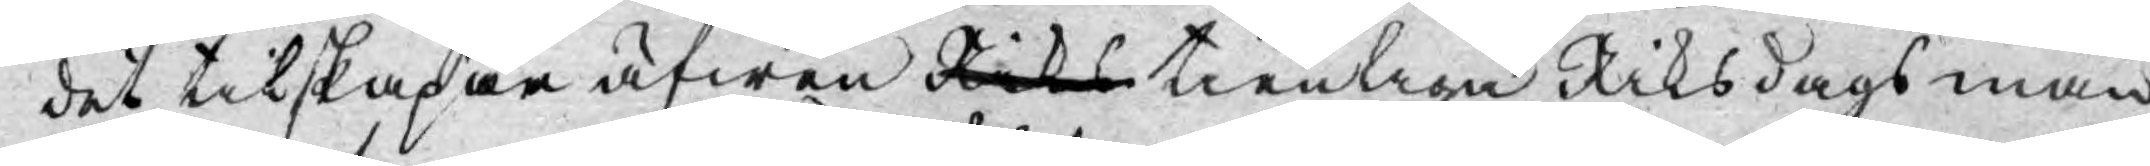det tilskapar äfwen Riks tienliga Riksdagsmän
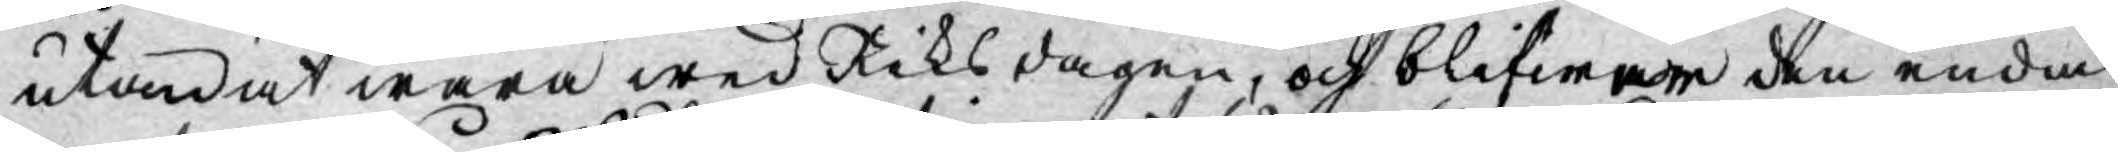utan at wara wid Riksdagen, och blifwer den enda
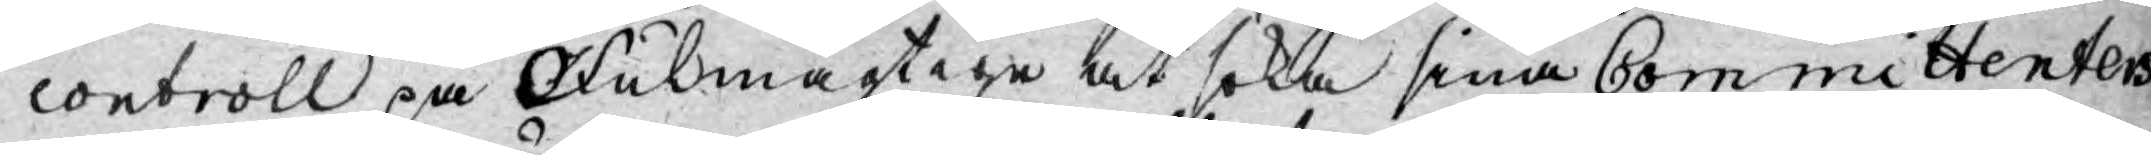controll på Fulmägtige at söka sina Committenters
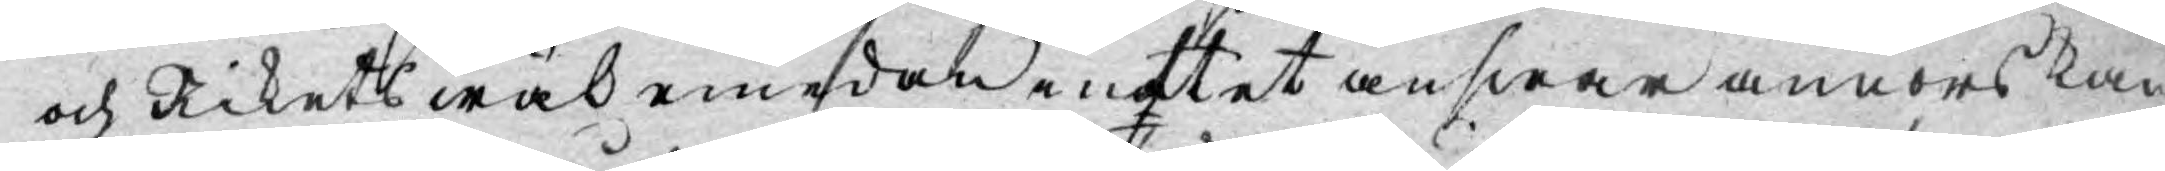och Rikets wäl emedan inttet answar annors kan
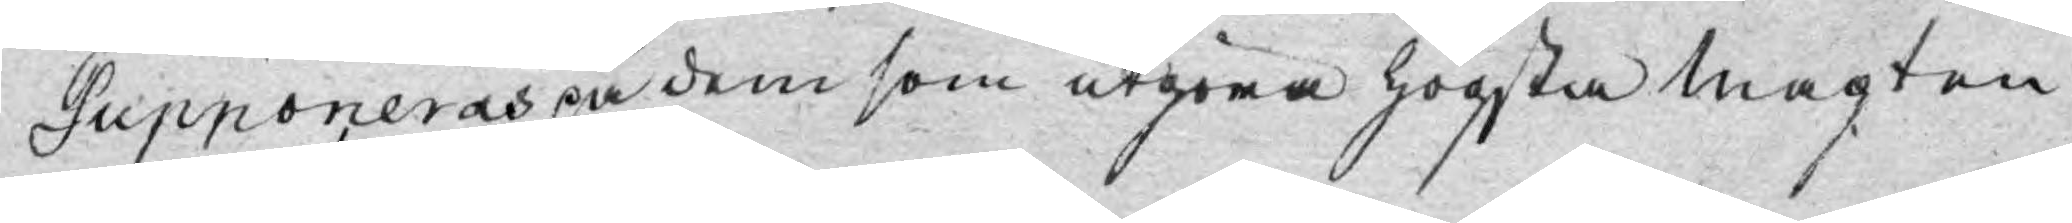Supponeras på dem som utgöra högsta magten.
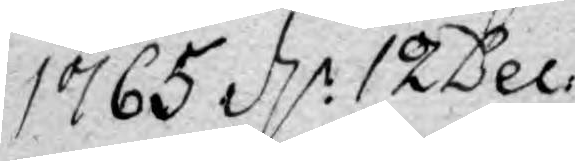1765. d. 12 Dec.
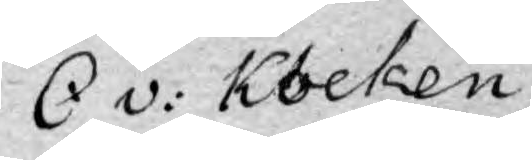C v: Kocken
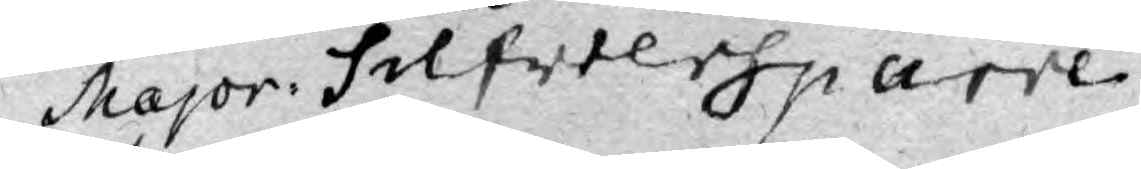Major Silfversparre
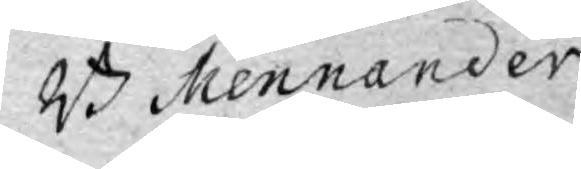B. Mennander
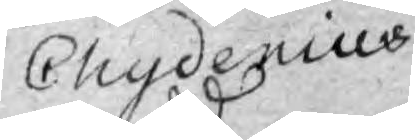Chydenius
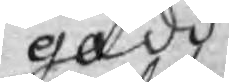gadd
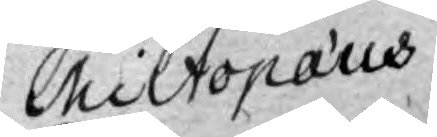Miltopæus.
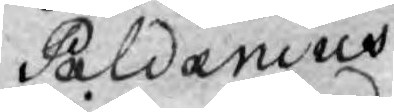Paldanius
